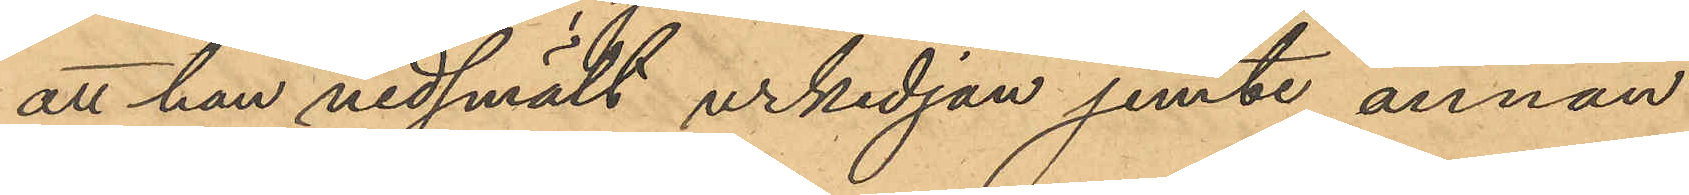att han nedsmält urkedjan jemte annan
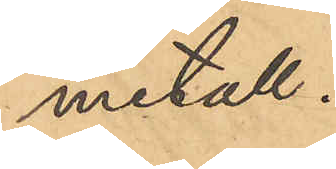metall.
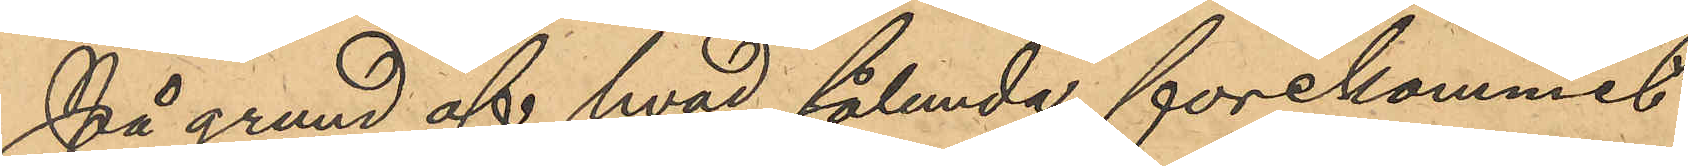På grund af hvad sålunda förekommit
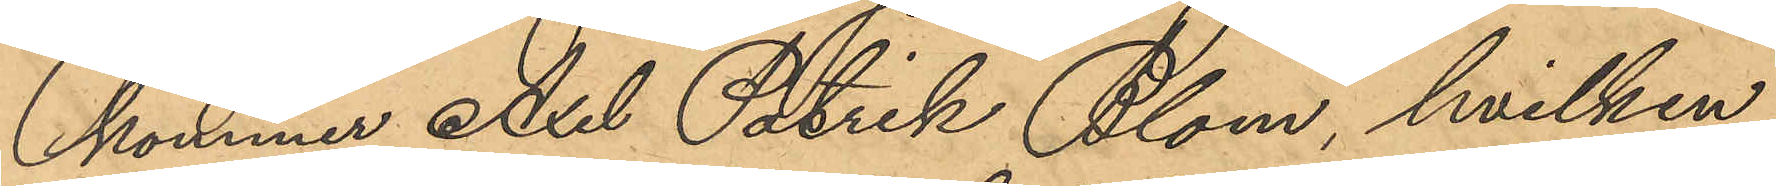kommer Axel Patrik Blom, hvilken
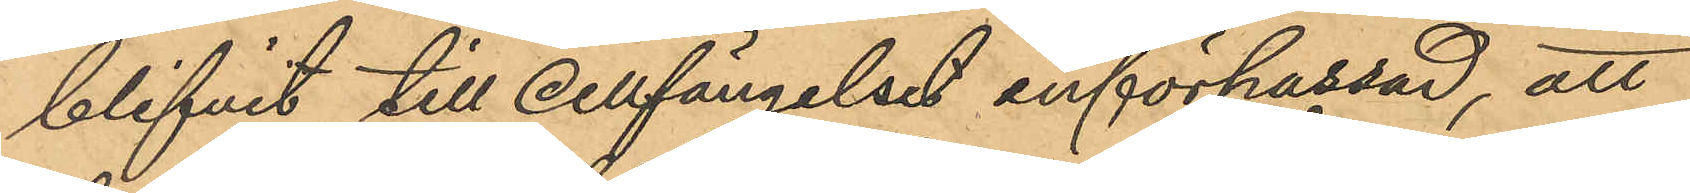blifvit till cellfängelset införpassad, att
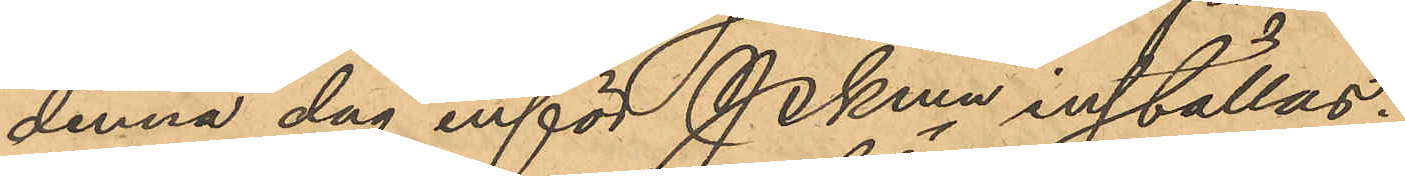denna dag inför Pkmn inställas.
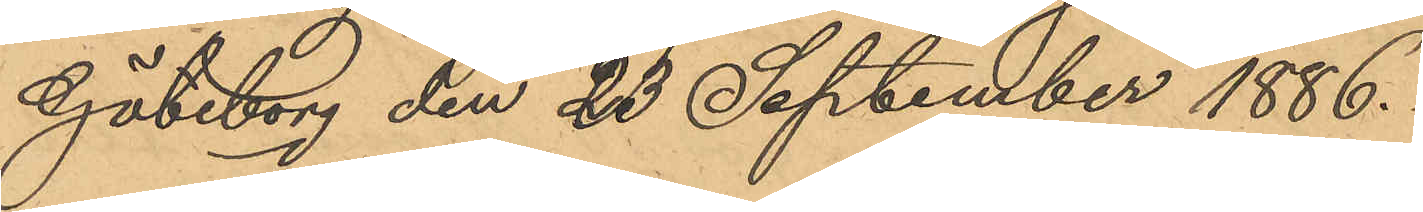Göteborg den 23 September 1886.
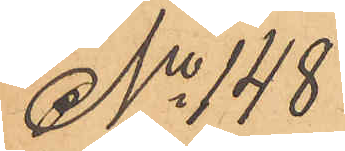No 148
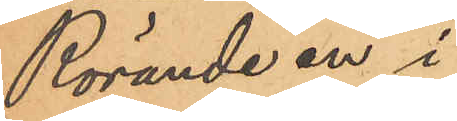Rörande en i
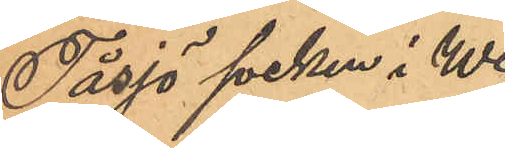Tåsjö socken i We¬
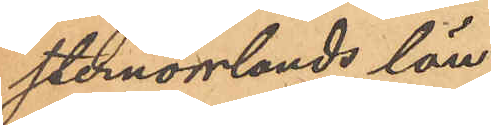sternorrlands län
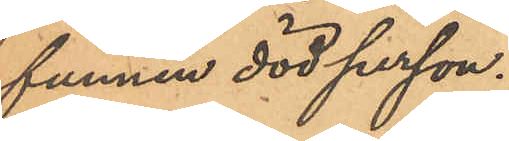funnen död person.
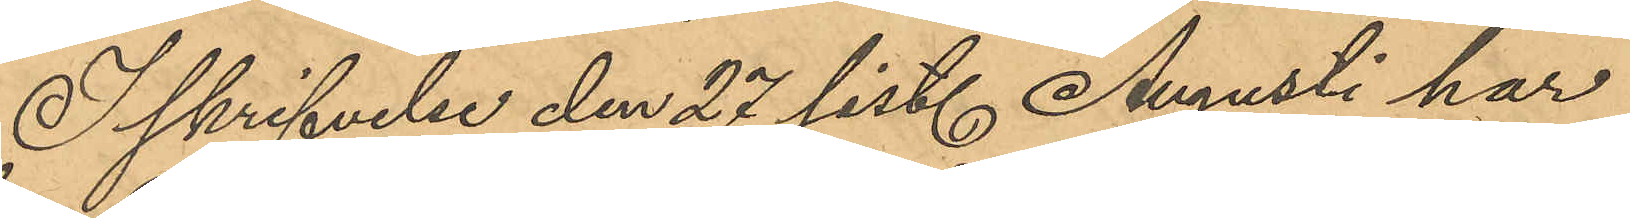I skrifvelse den 27 sist. Augusti har
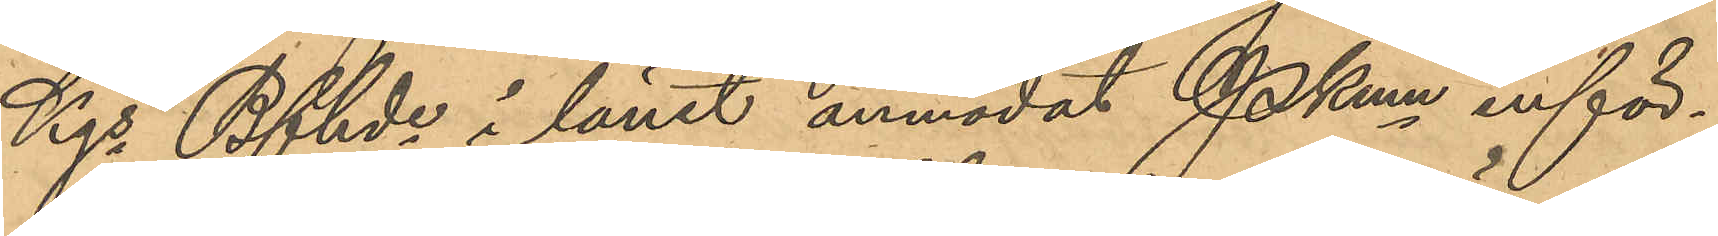Kgs Bfhds i länet anmodat Pkmn inför¬
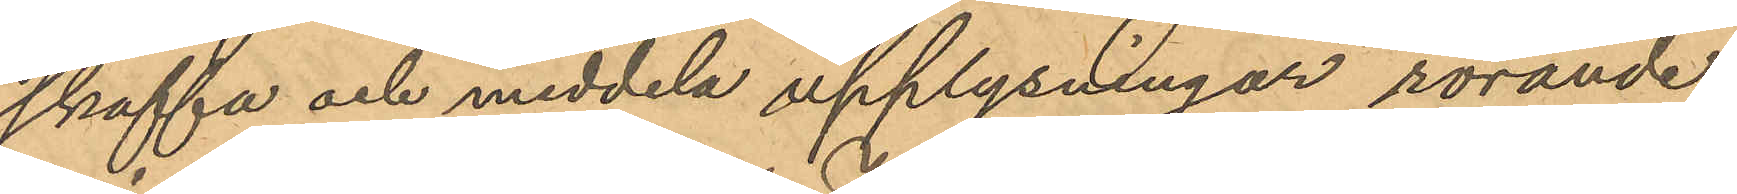skaffa och meddela upplysningar rörande
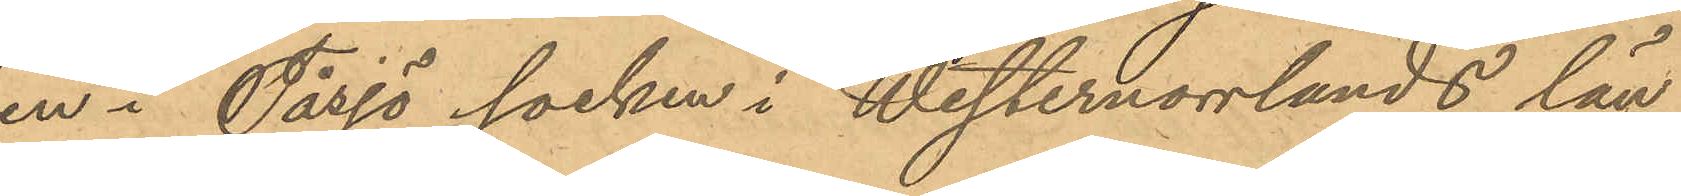en i Tåsjö socken i Westernorrlands län
